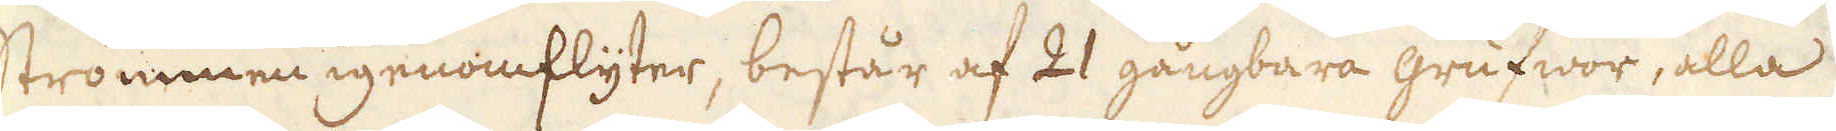strömmen igenomflyter, består af 21 gångbara grufwor, alla
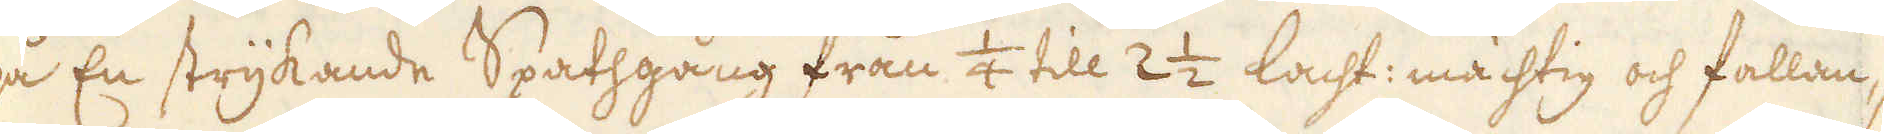på En strykande Spathgång från 1/4 till 2 1/2 lacht: mächtig och fallan-
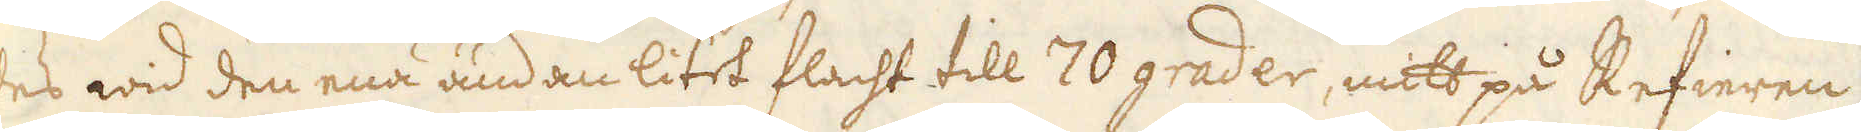des wid den ena ändan litet flacht till 70 grader, mitt på Refieren
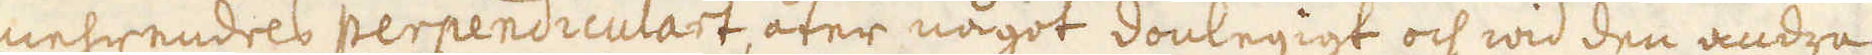mehrendels perpendiculart, åter något donlegigt och wid den andra
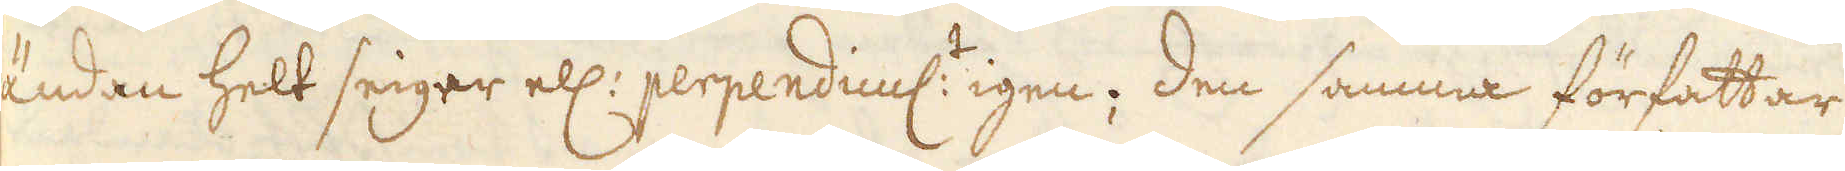ändan helt seiger ell: perpendicul:t igen; Den samma författar
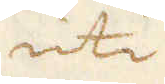uti
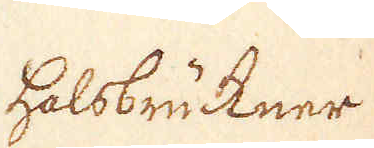halsbrükner.
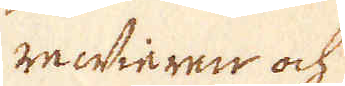rewieren och
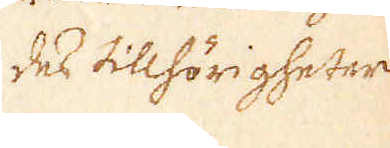des tillhörigheter
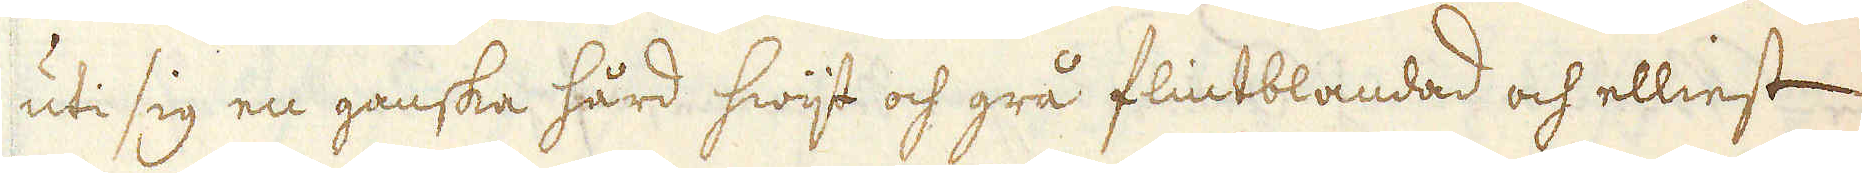uti sig en ganska hård hwijt och grå flintblandad och elliest
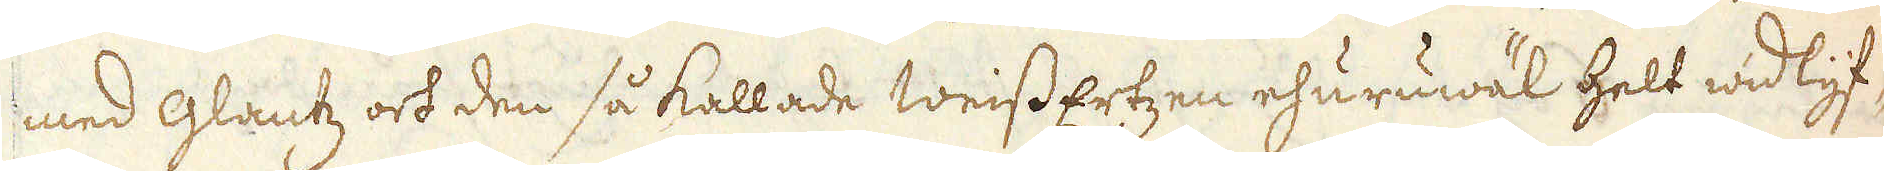med glantz och den så kallade weissErtzen ehuruwäl helt widlyf-
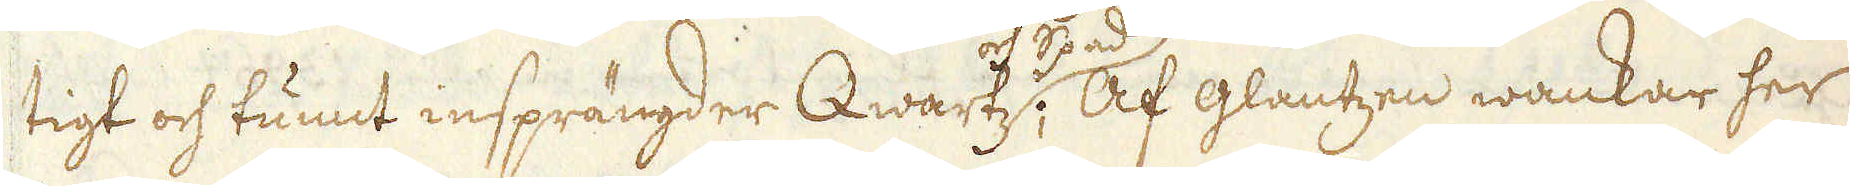tigt och tunnt insprängder Qwartz och Spad; Af glantzen wankar her
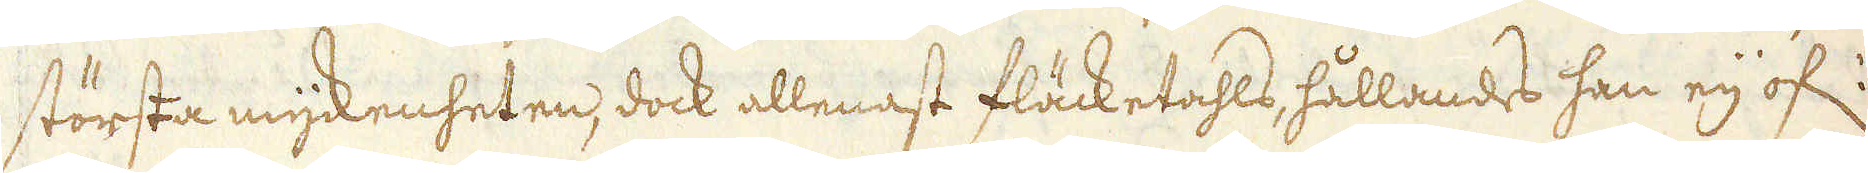största myckenheten, dock allenast fläcketahls, hållandes han eij öf:
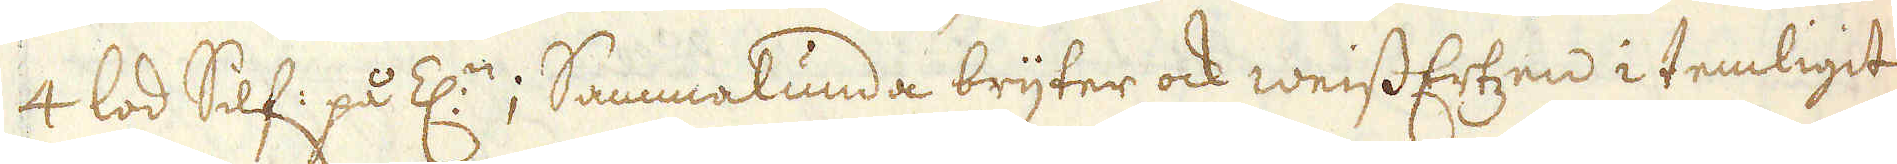4 lod Silf: på Z:n; Sammalunda bryter ock weiss Ertzen i temligit
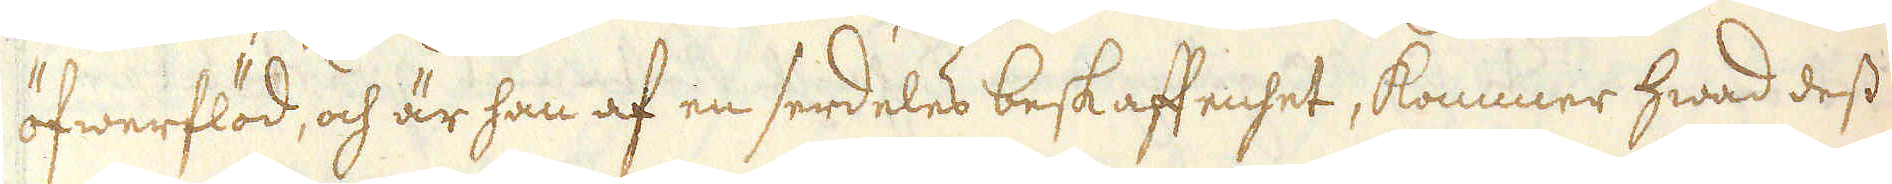öfwerflöd, och är han af en serdeles beskaffenhet, kommer hwad dess
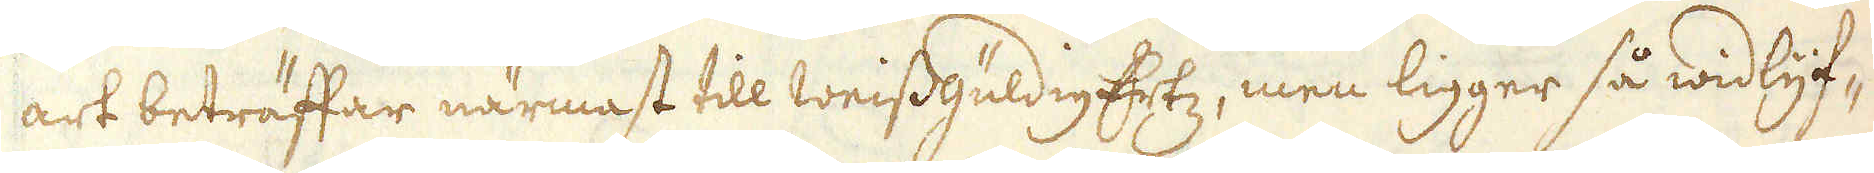art beträffar närmast till WeissgüldigErtz, men ligger så widlyf-
